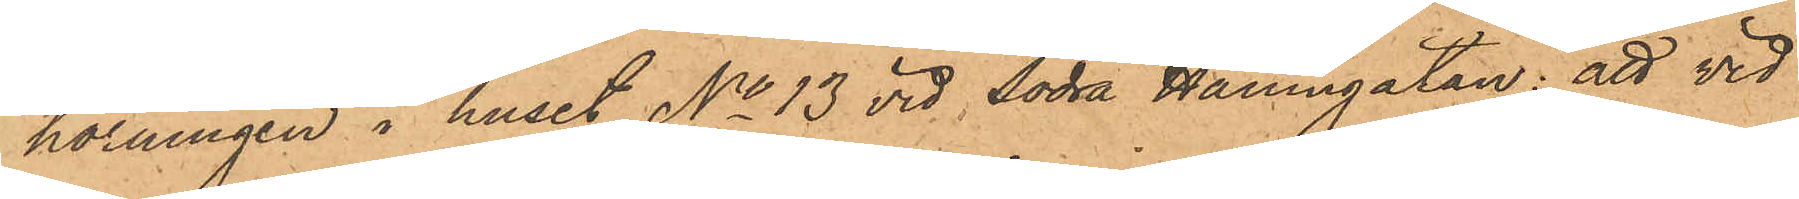hörningen i huset No 13 vid Södra Hamngatan: att vid
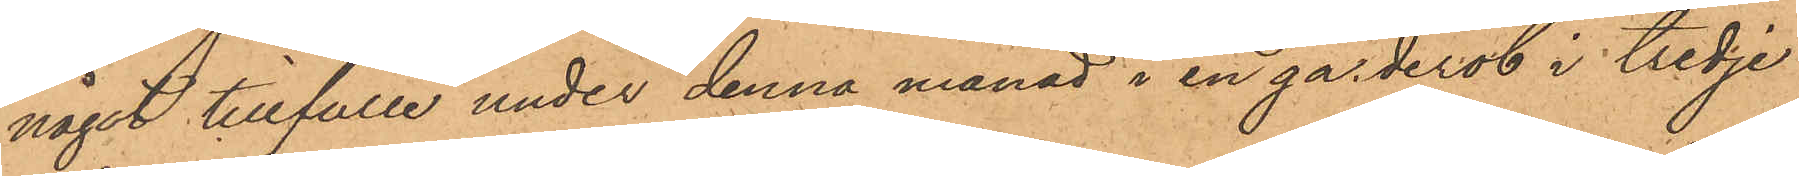något tillfälle under denna månad i en garderob i tredje
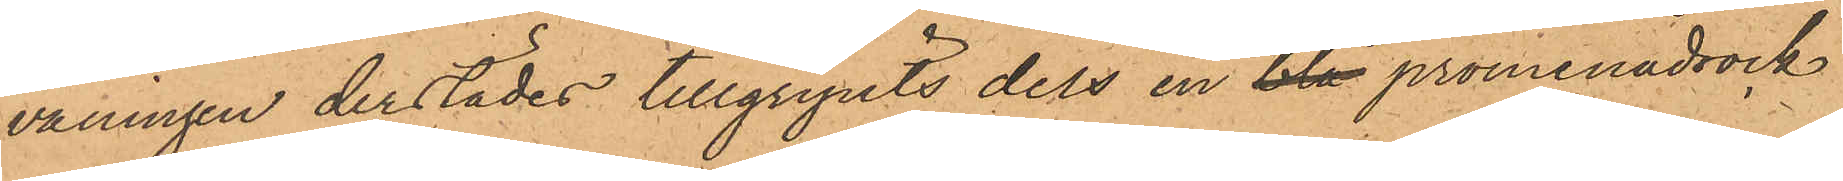våningen derstädes tillgripits dels en blå promenadrock
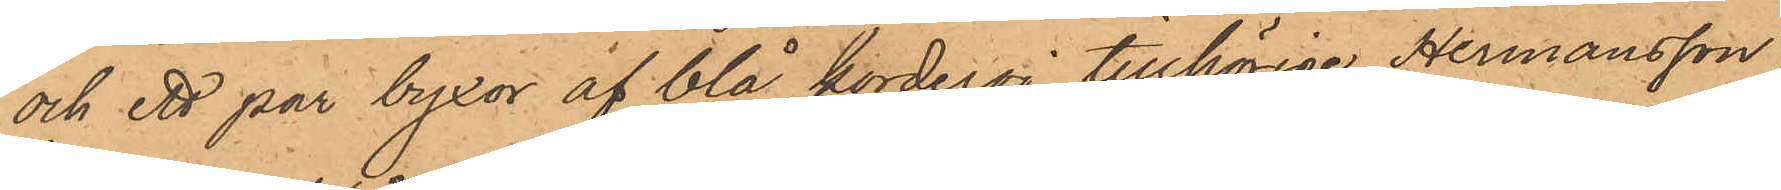och ett par byxor af blå korderoj, tillhörige Hermansson,
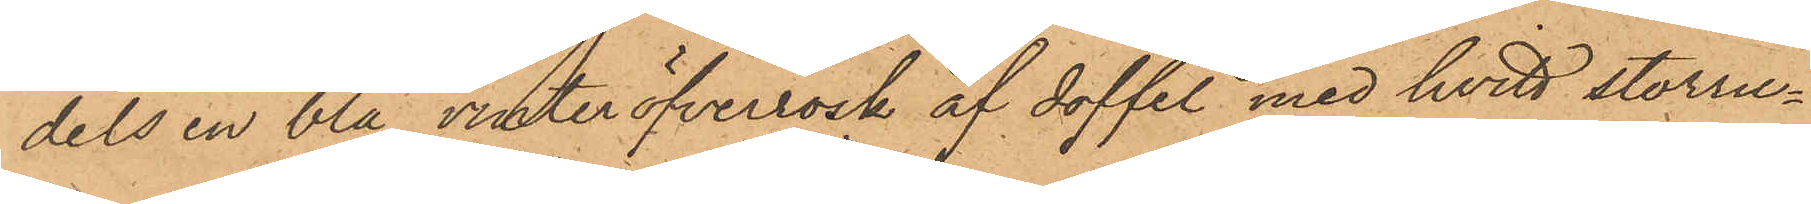dels en blå vinteröfverrock af doffel, med hvitt storru¬
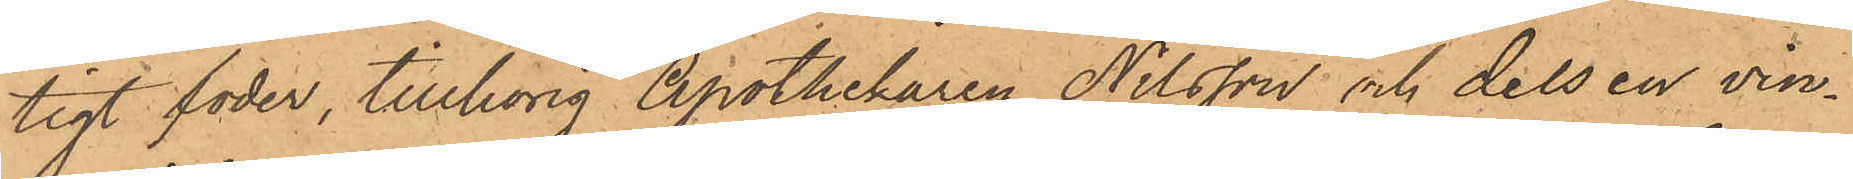tigt foder, tillhörig Apothekaren Nilsson och dels en vin¬
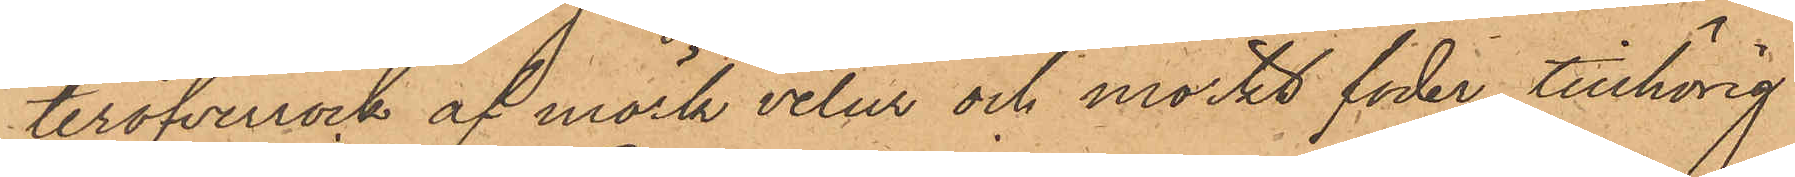teröfverrock af mörk velur och mörkt foder, tillhörig
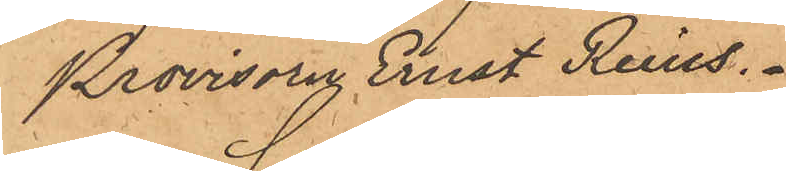Provisorn Ernst Reins.
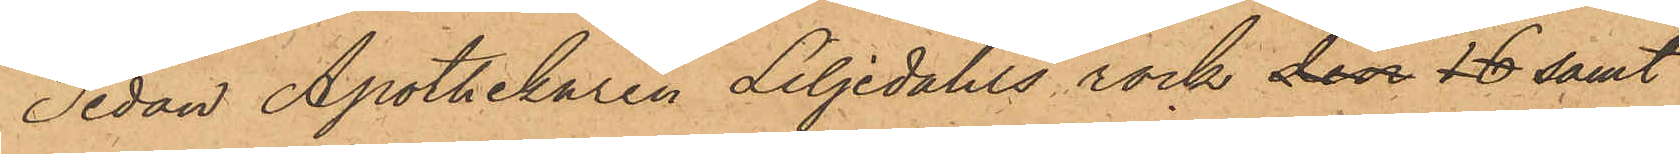Sedan Apothekaren Liljedahls rock den 18 samt
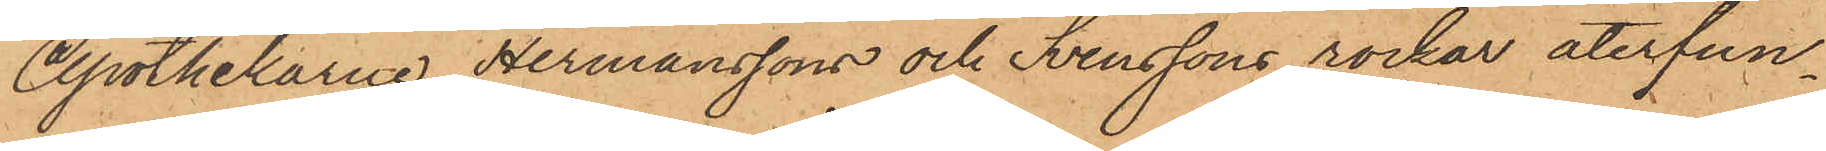Apothekarne Hermanssons och Svenssons rockar återfun¬
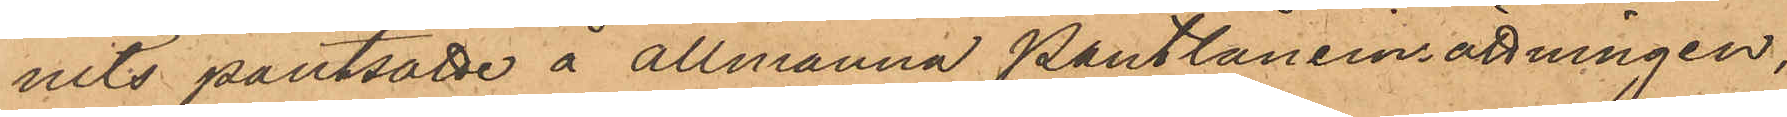nits pantsatte å allmänna Pantlåneinrättningen,
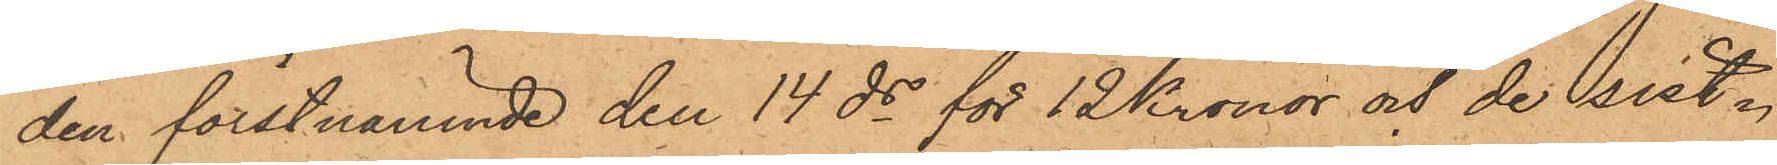den förstnämnde den 14 ds för 12 Kronor och de sist¬
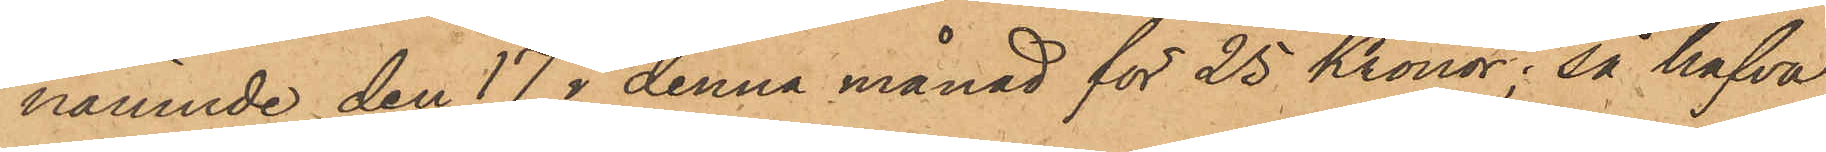nämnde den 17 i denna månad för 25 Kronor; så hafva
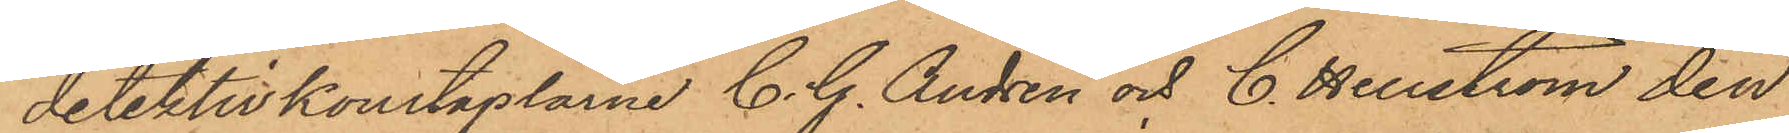detektivkonstaplarne C. G. Andrén och C. Hellström den
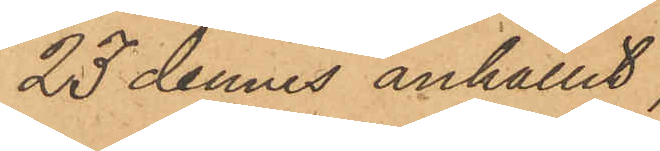23 dennes anhållit,
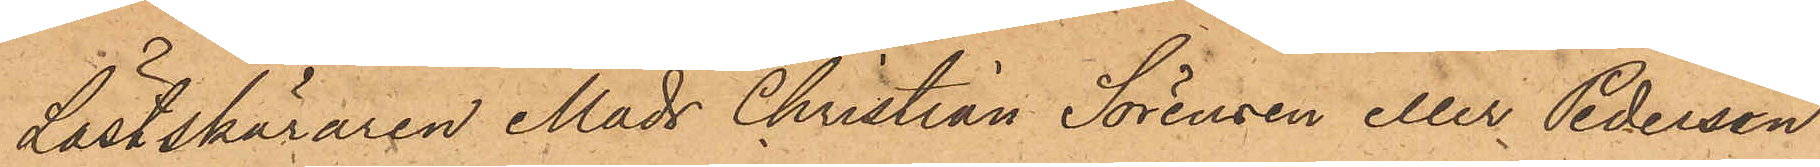Lästskäraren Mads Christian Sörensen eller Pedersen
